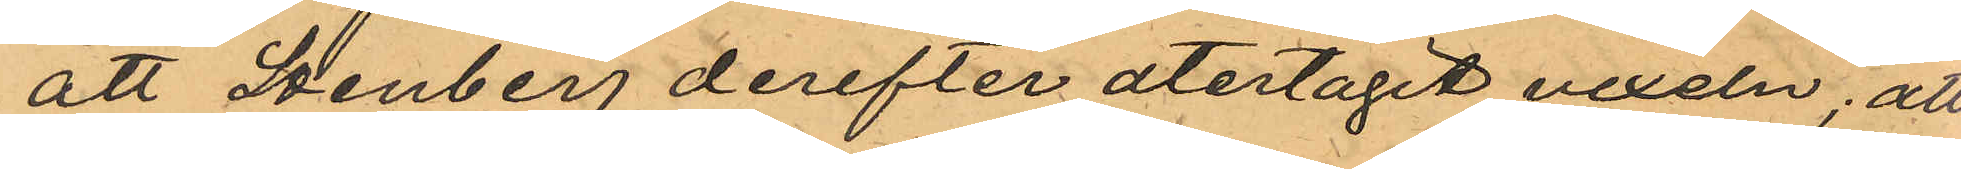att Stenberg derefter atertagit vexeln; att
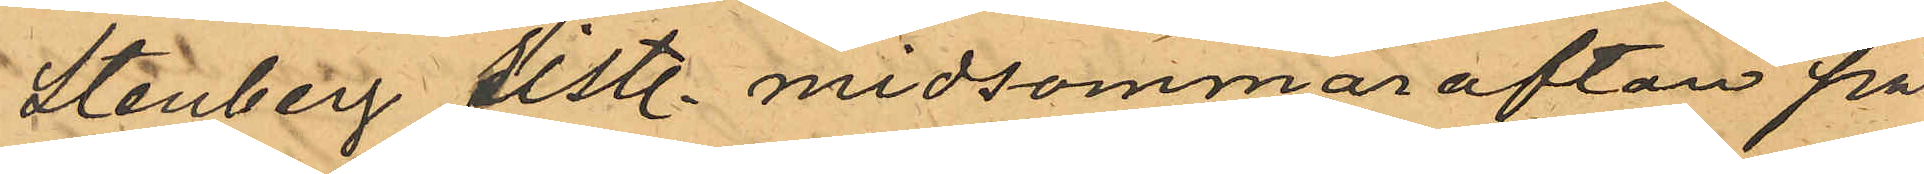Stenberg sistl. midsommarafton på
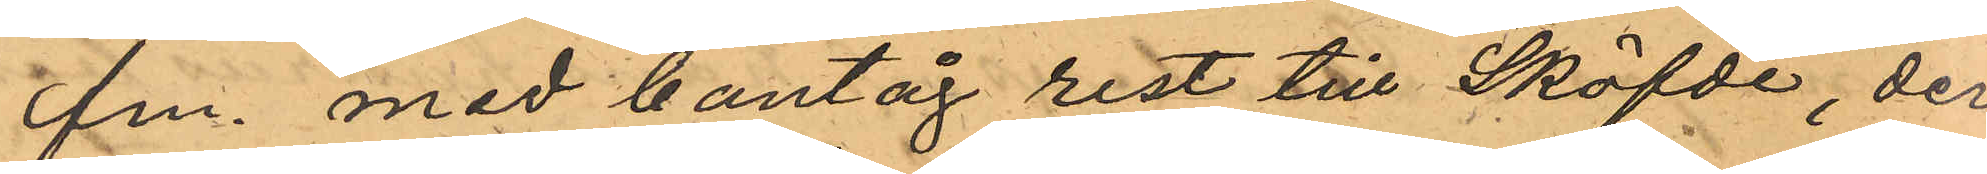fm. med bantåg rest till Sköfde, der
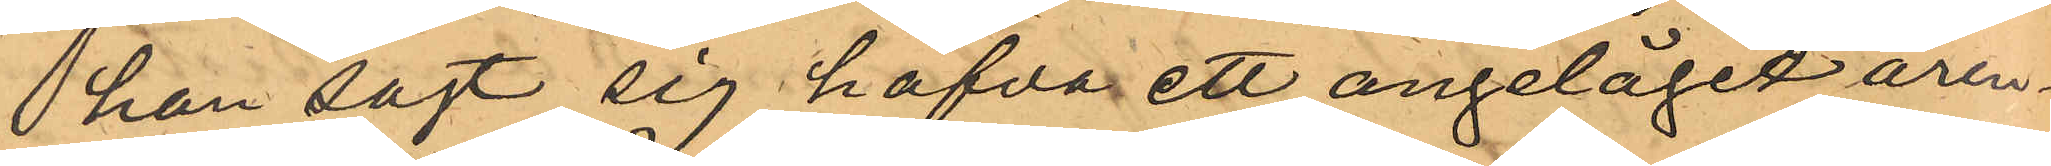han sagt sig hafva ett angeläget ären¬
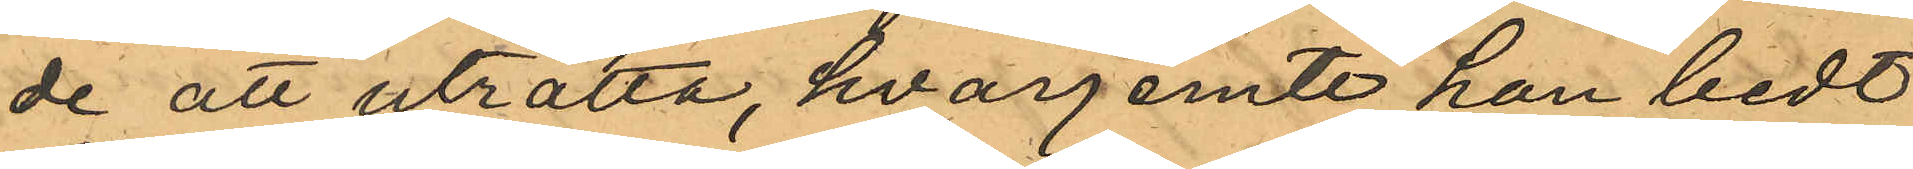de att uträtta, hvarjemte han bedt
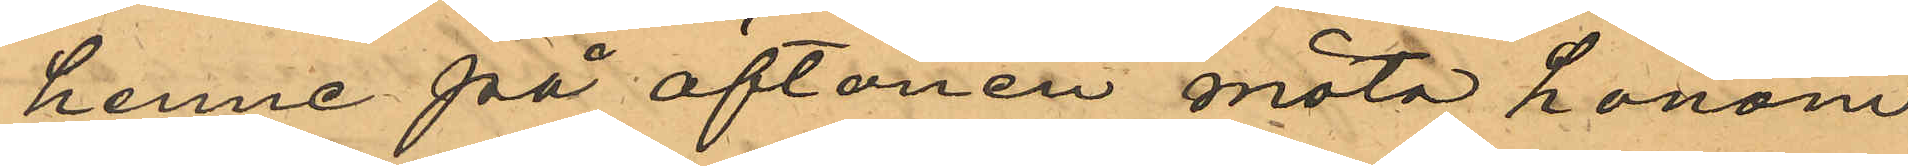henne på aftonen möta honom
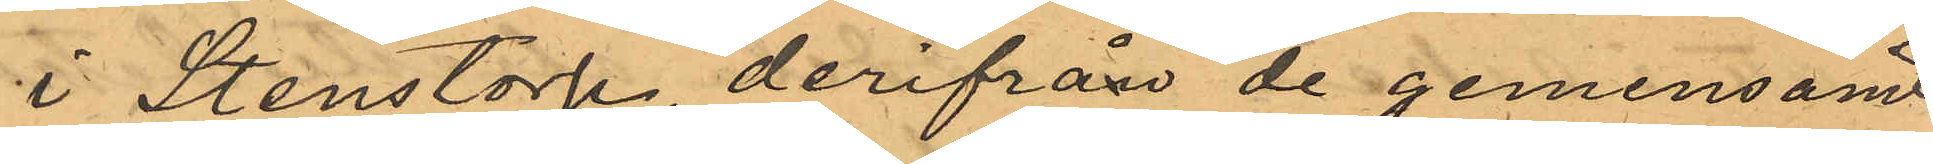i Stenstorp, derifrån de gemensamt
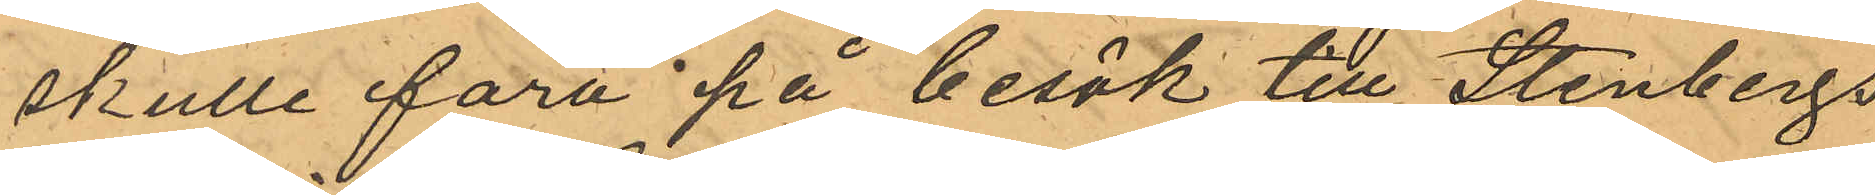skulle fara på besök till Stenbergs
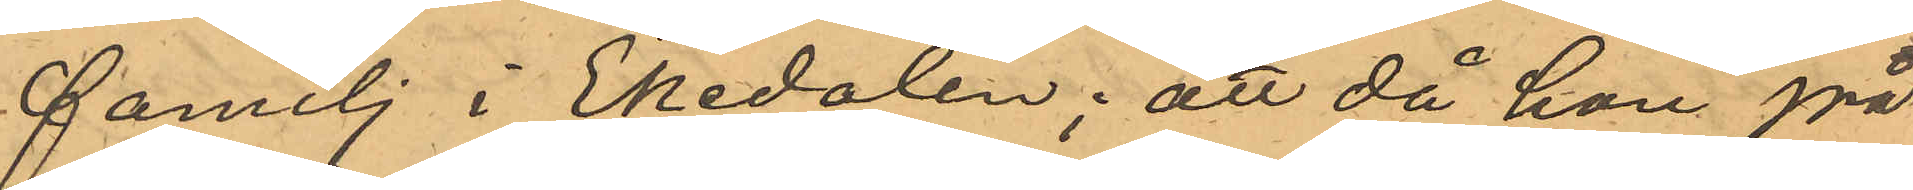familj i Ekedalen; att då hon på
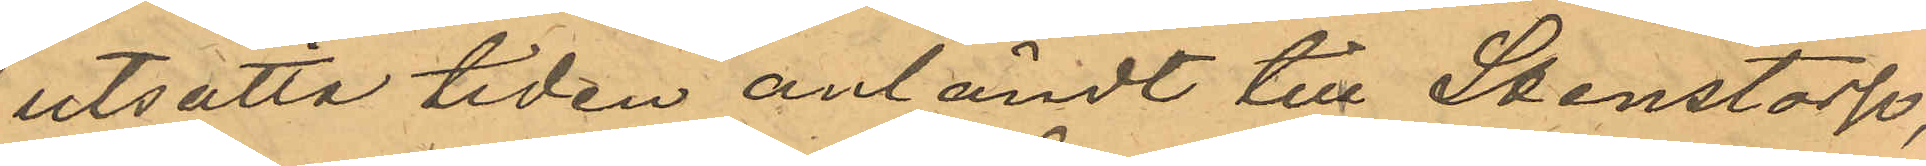utsatta tiden anländt till Stenstorp,
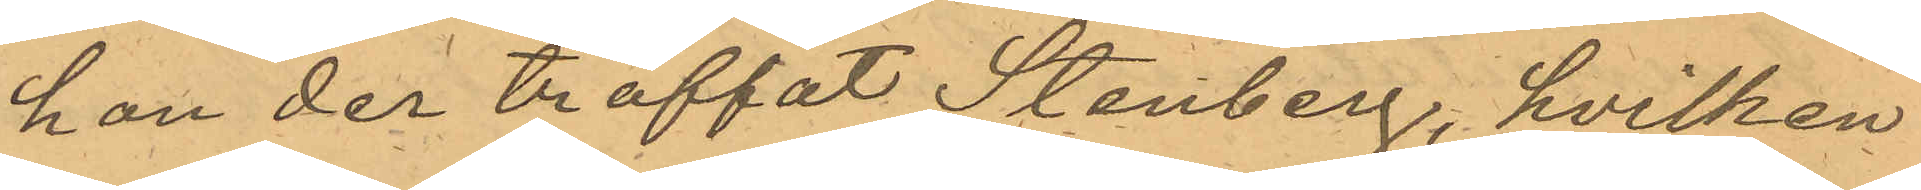hon der träffat Stenberg, hvilken
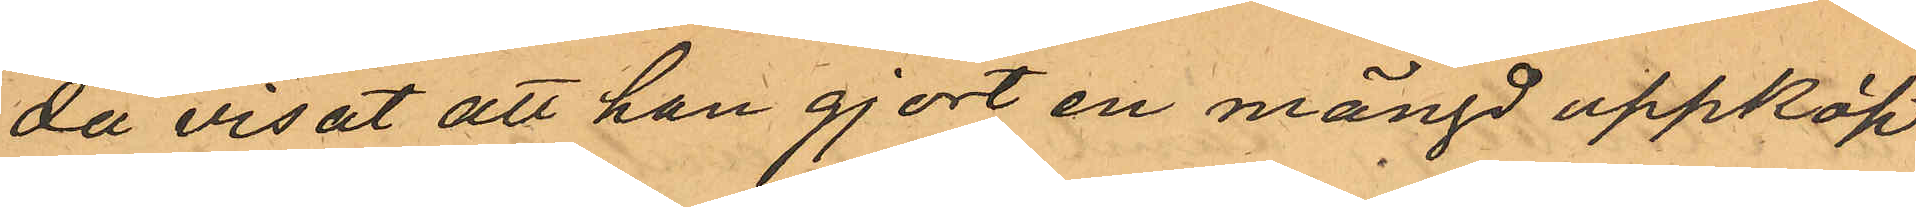då visat att han gjort en mängd uppköp
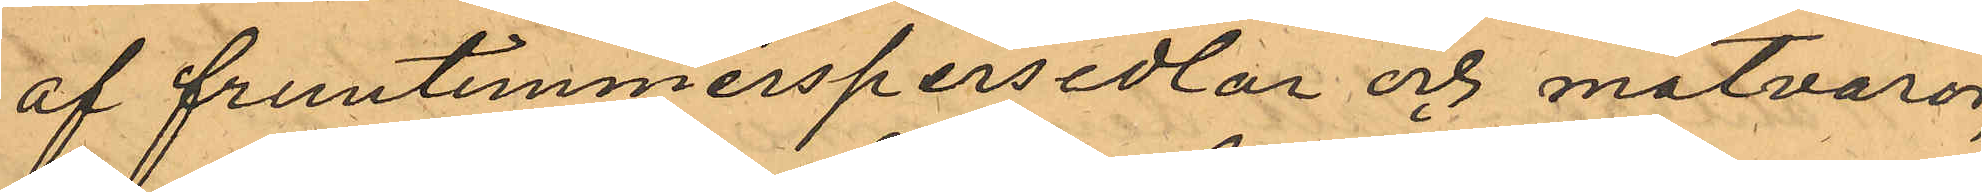af fruntimmerspersedlar och matvaror,
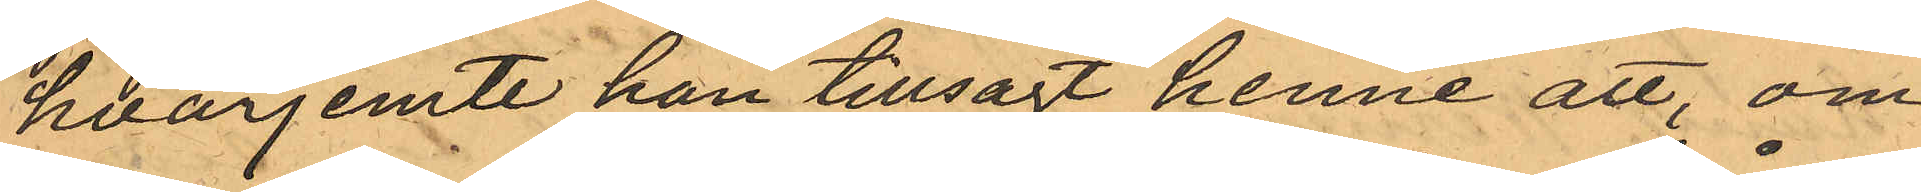hvarjemte han tillsagt henne att, om
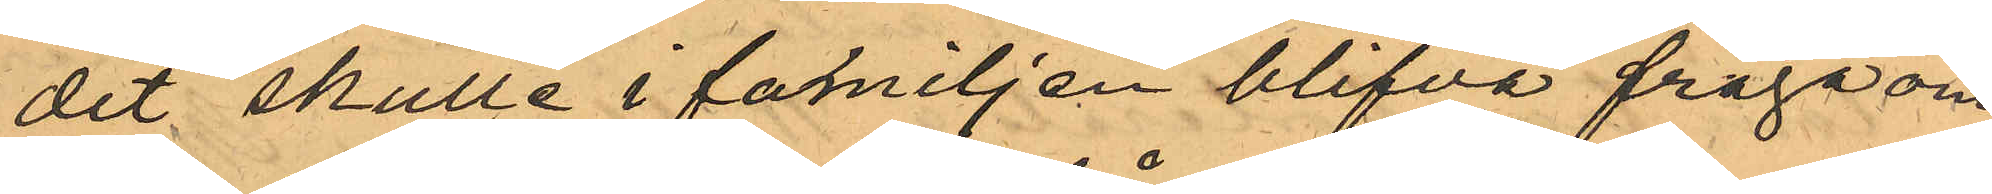det skulle i familjen blifva fråga om
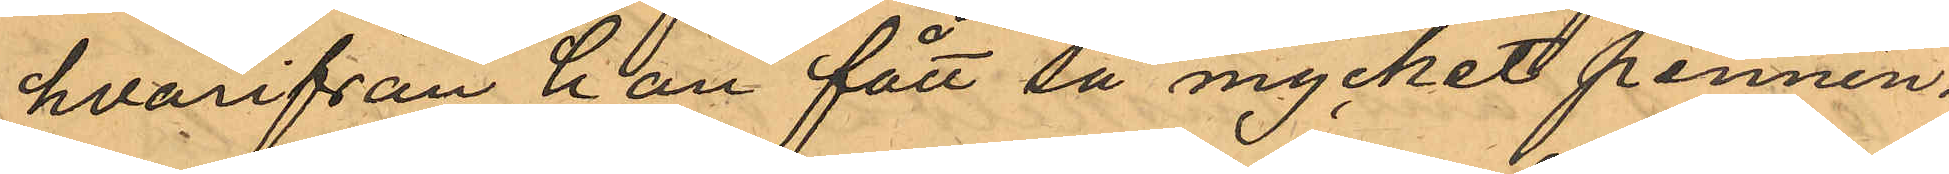hvarifrån han fått så mycket pennin¬
